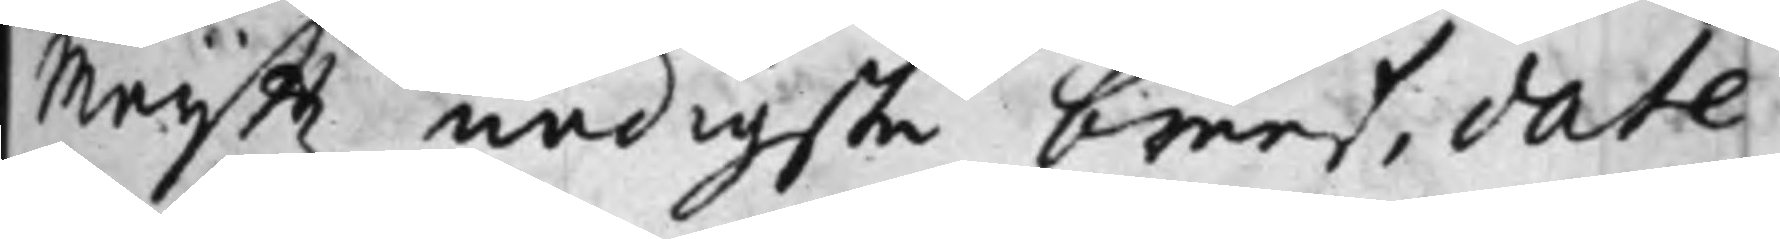Maijttz nådigste breef, date¬
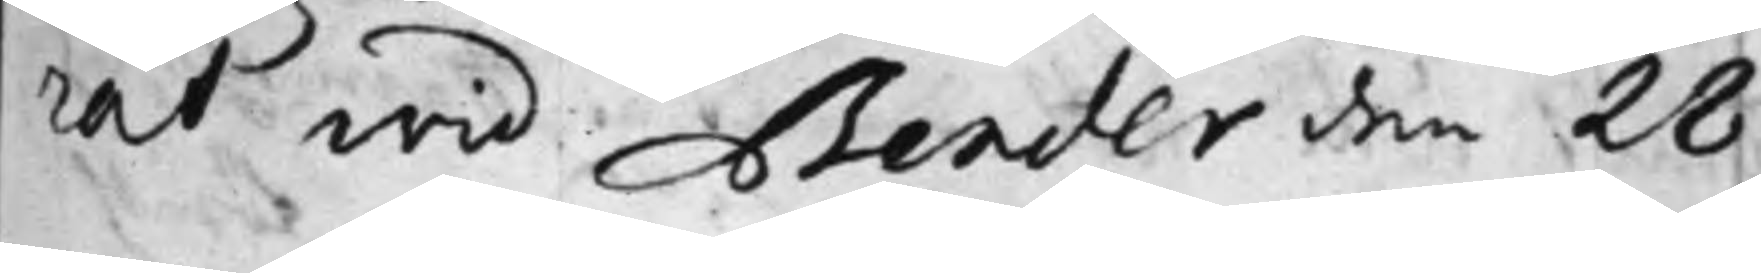rat wid Bender den 28
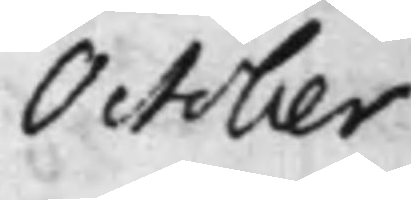October
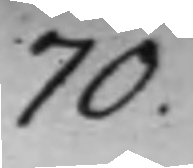70.
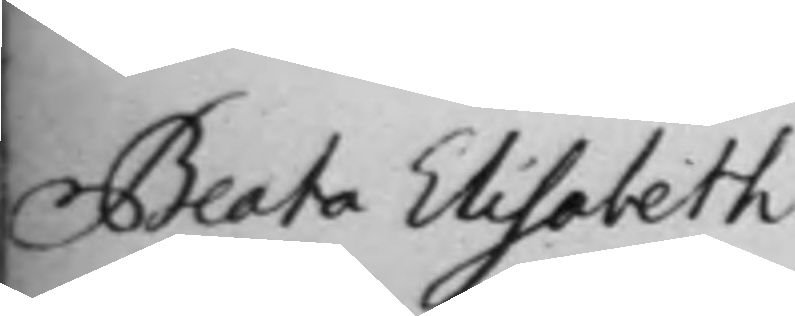Beata Elisabeth
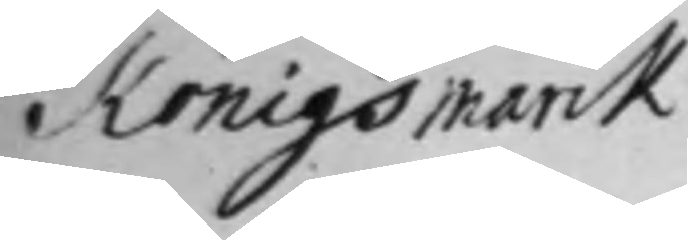Königsmarck
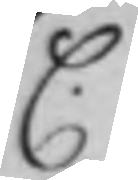C.
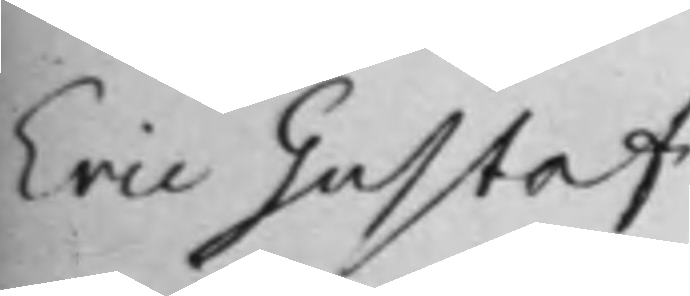Eric Gustaf
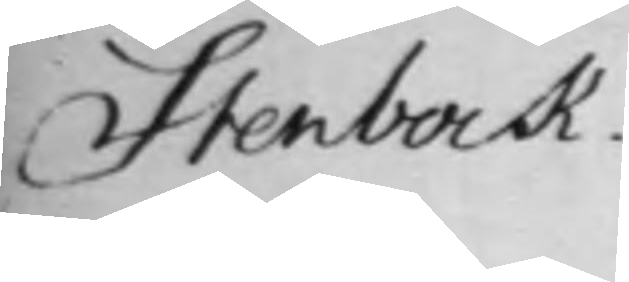Stenbock.
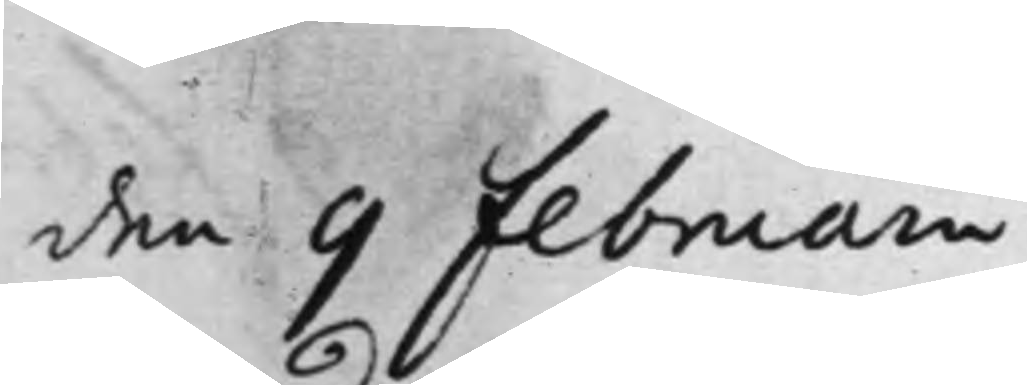den 9 Februarii
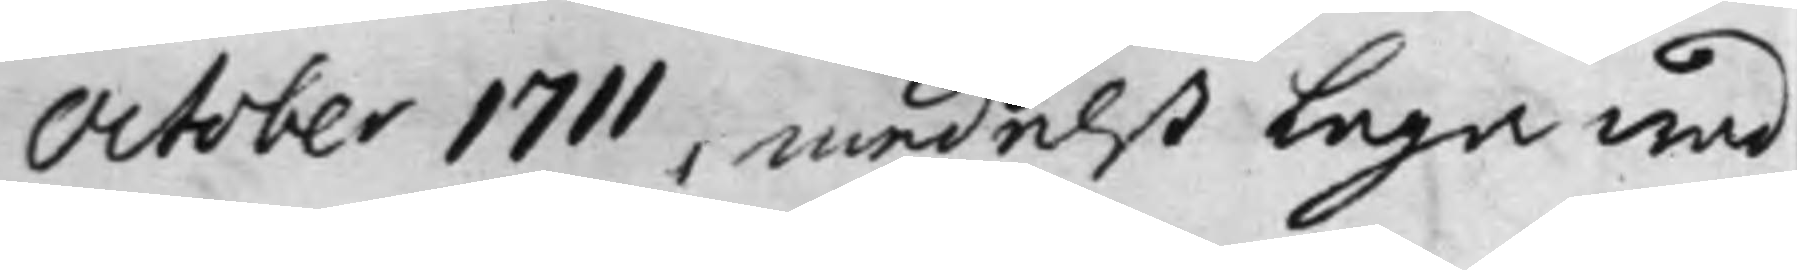October 1711, medelst Laga wad
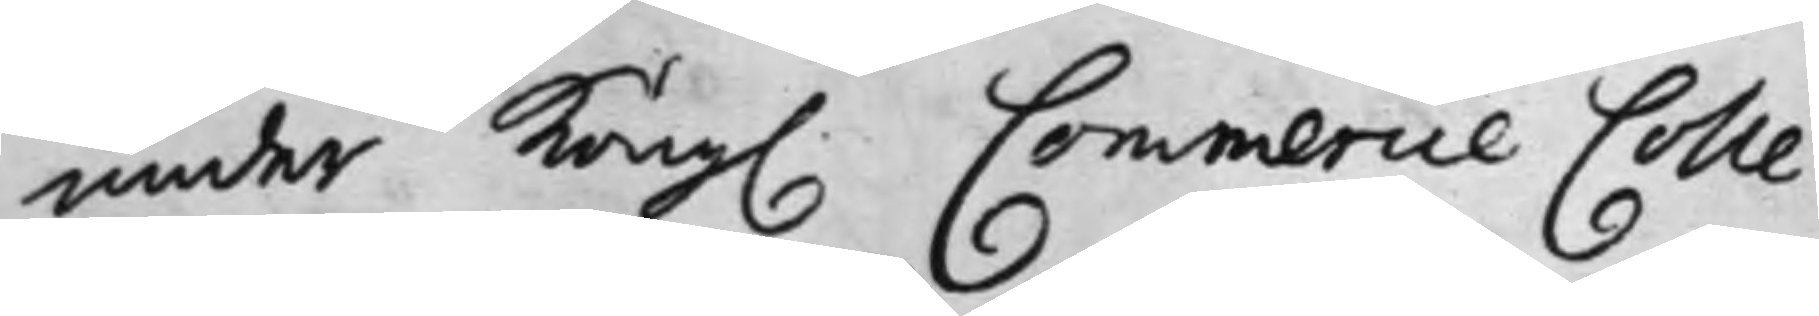under Kong. Commercie Colle¬
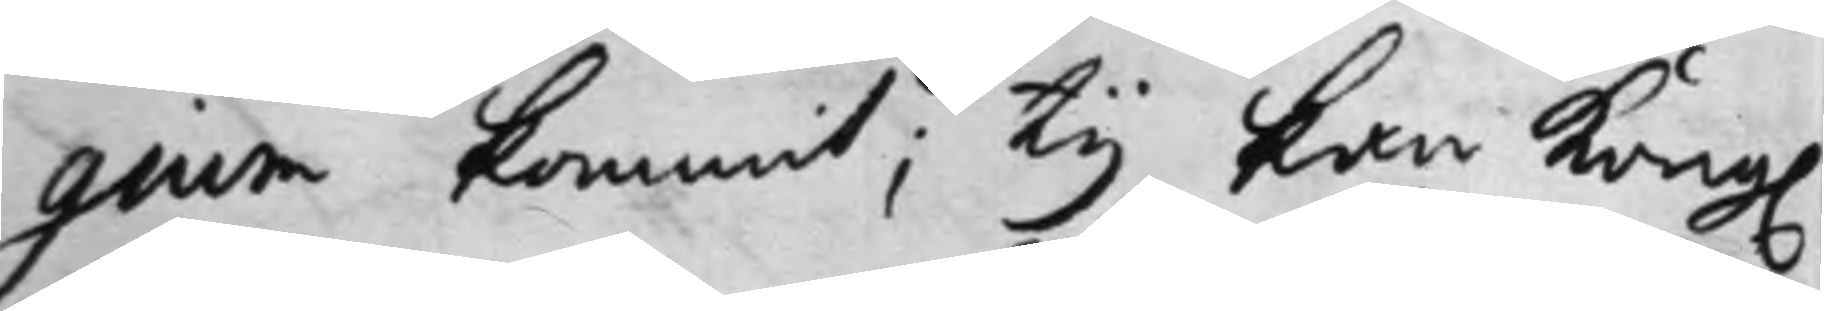gium kommit; Ty kan Kong.
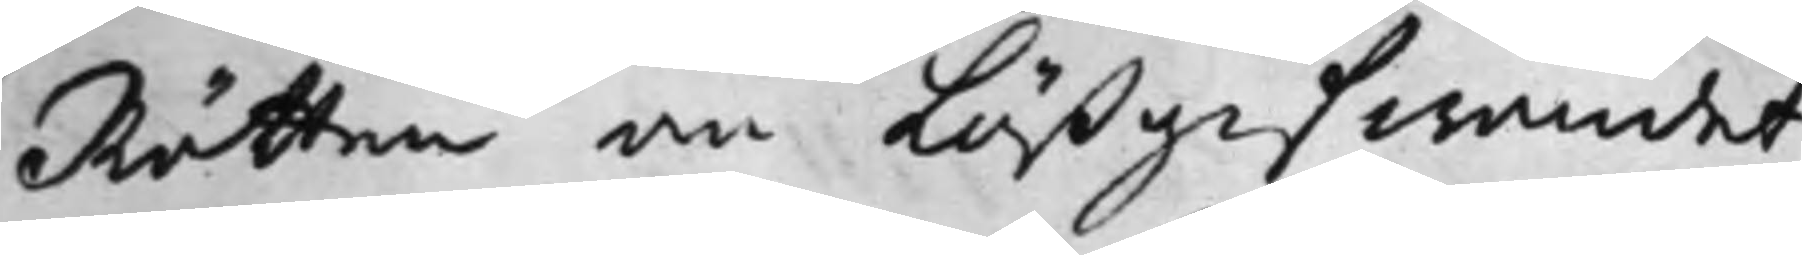Rätten om Lösgifwandet
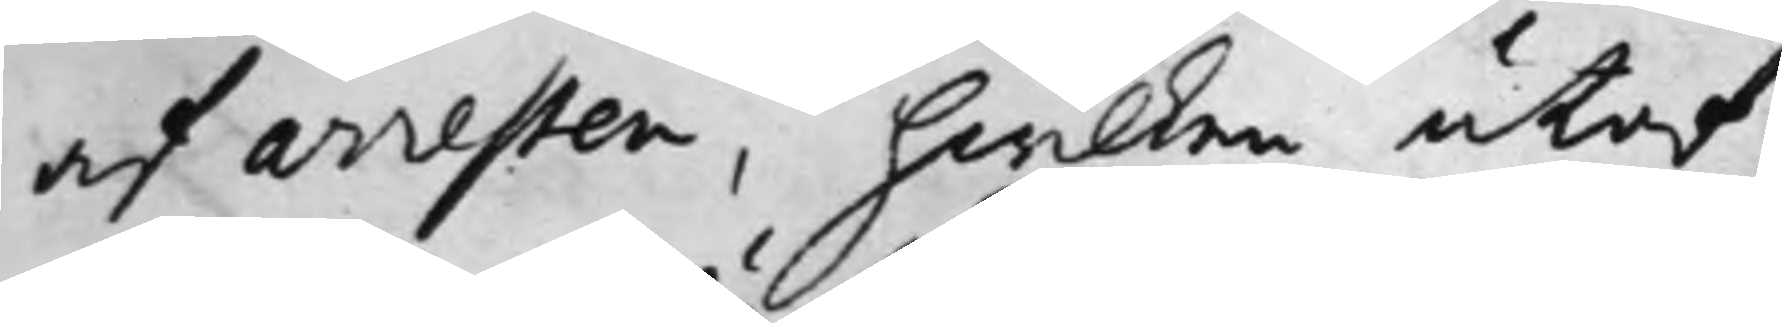af arresten, hwilken utaf
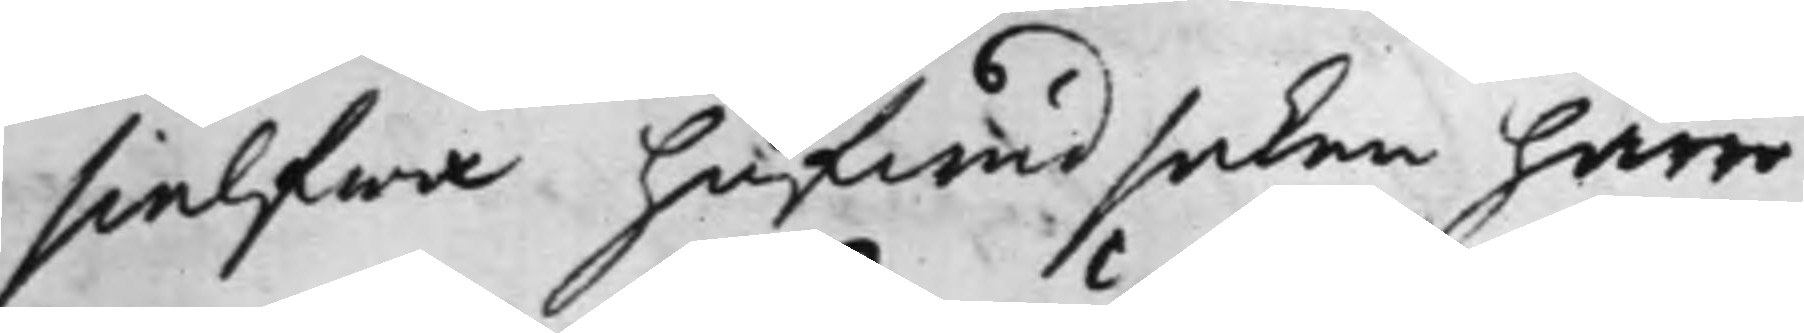sielfwa hufwudsaken härrö¬
